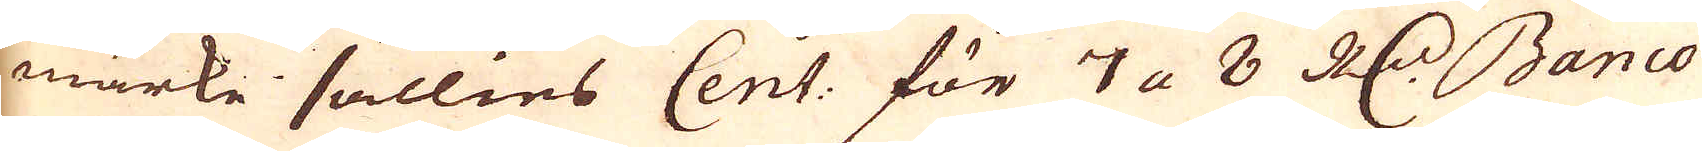märke sällies Cent: för 7 a 8 R:dr Banco
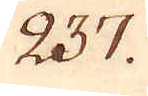237.
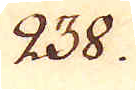238.
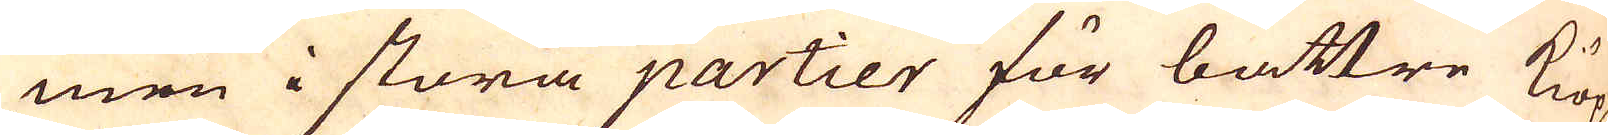men i stora partier för bättre kiöp
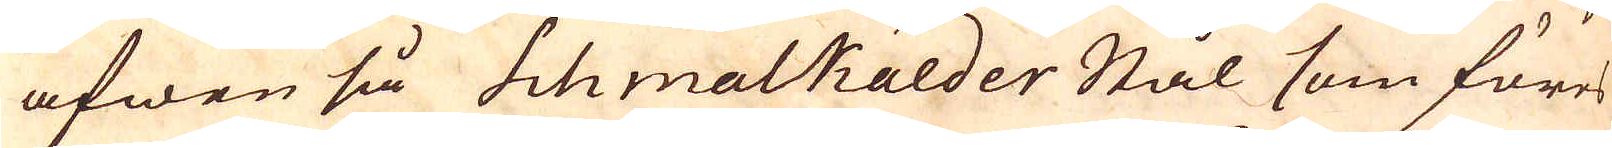äfwen så Schmalkalder Stål som föres
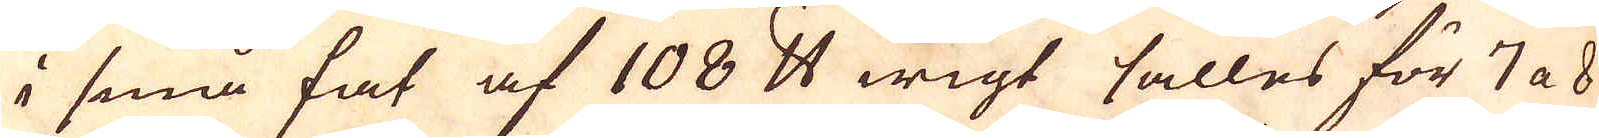i små fat af 108 skålpund wigt sälles för 7 a 8
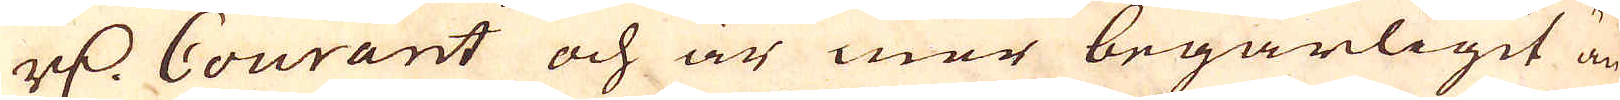r:dr Courant och är mer begärligit än
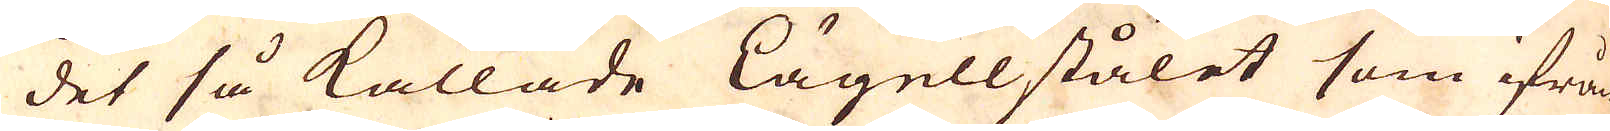det så kallade Kägellstålet som ifrån
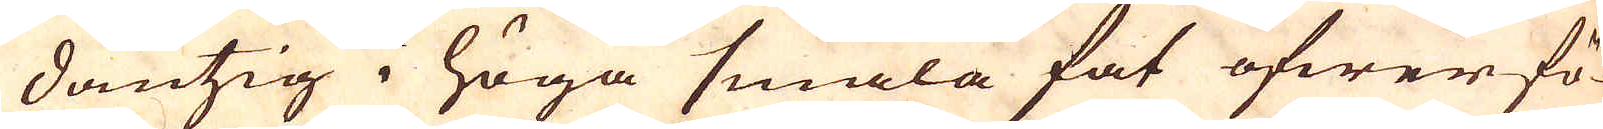Dantzig i höga smala fat öfwerfö-
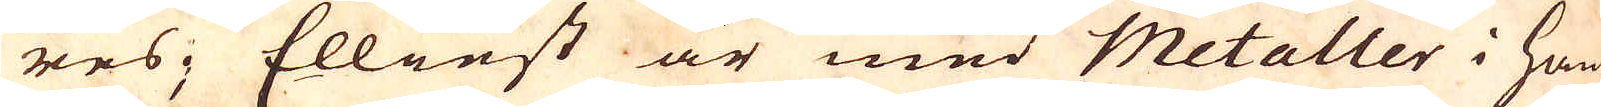res; Elliest är med Metaller i Ham-
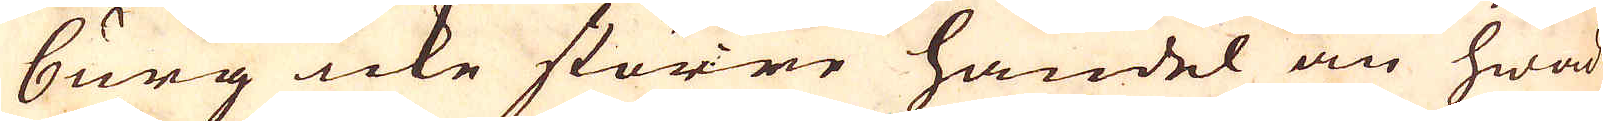burg icke större handel än hwad
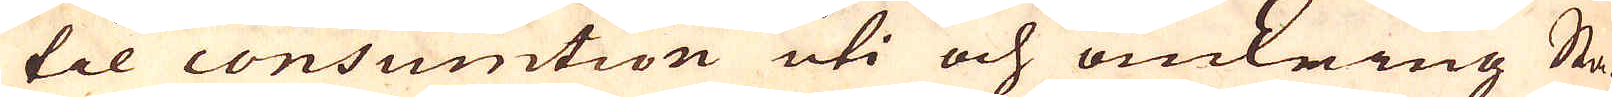til consumtion uti och omkring Sta-
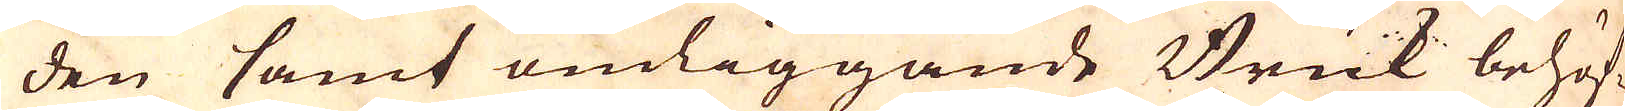den samt omliggande Bruk behöf-
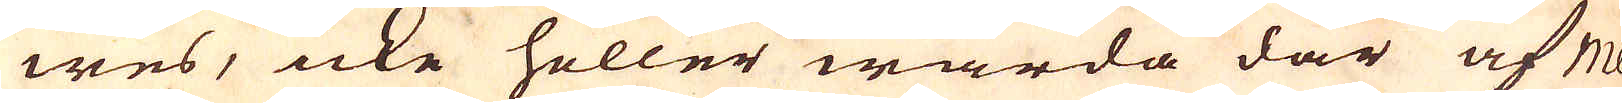wes, icke heller warda där af Me-
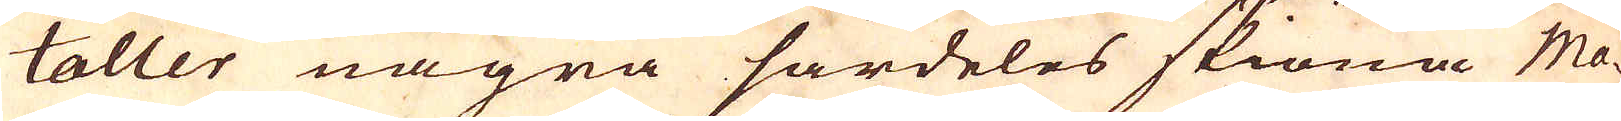taller några särdeles skiöna Ma-
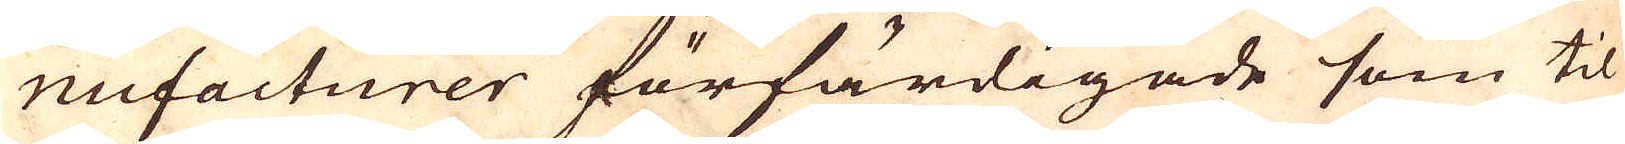nufacturer förfärdigade som til
